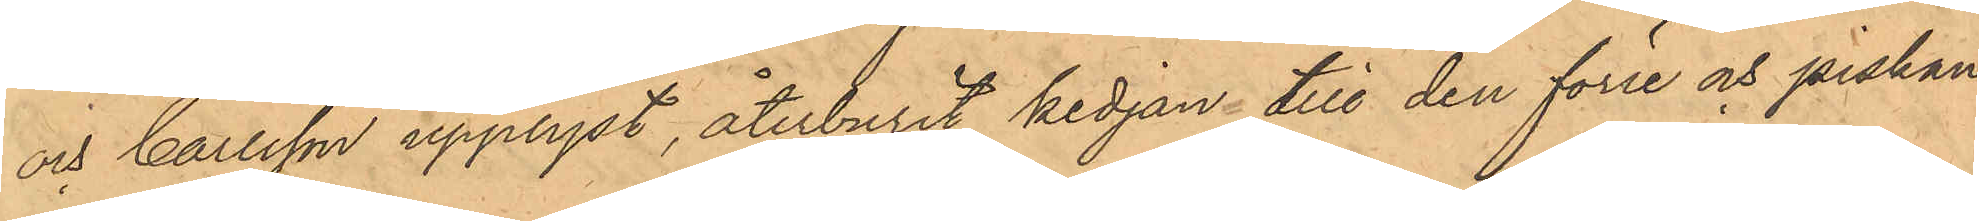och Carlsson upplyst, återburit kedjan till den förre och piskan
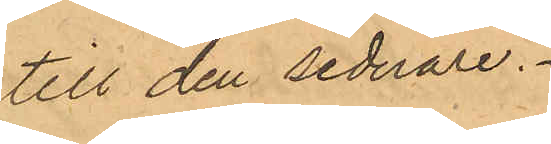till den sednare.
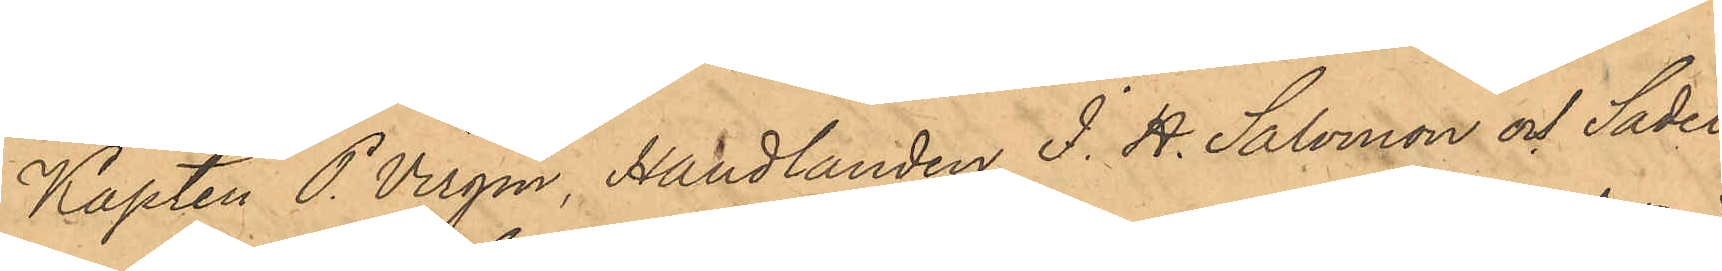Kapten P. Virgin, Handlanden J. H. Salomon och Sadel¬
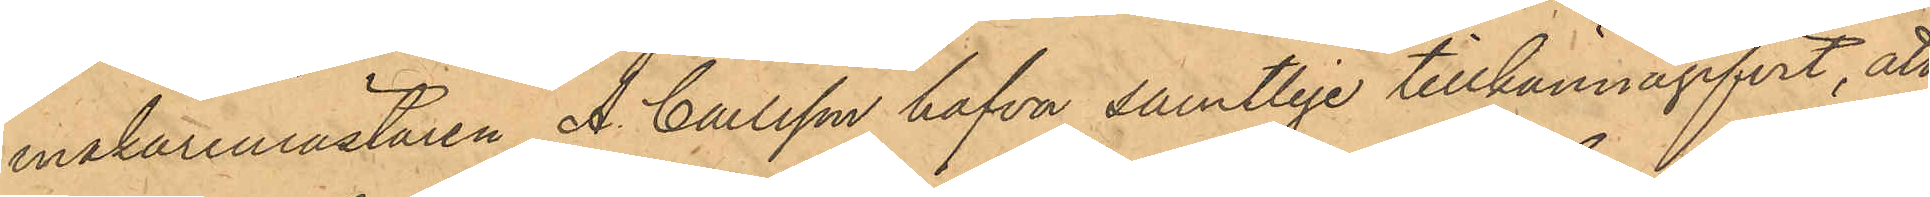makaremästaren A. Carlsson hafva samtlige tillkännagifvit, att
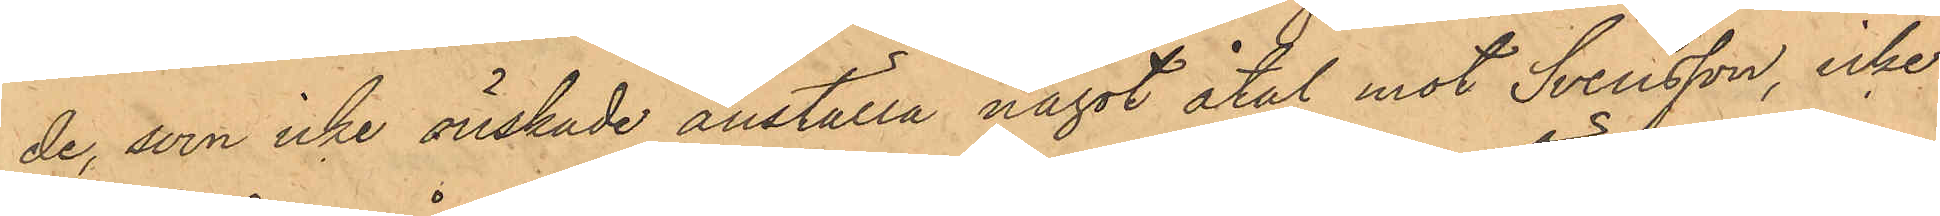de, som icke önskade anställa något åtal mot Svensson, icke
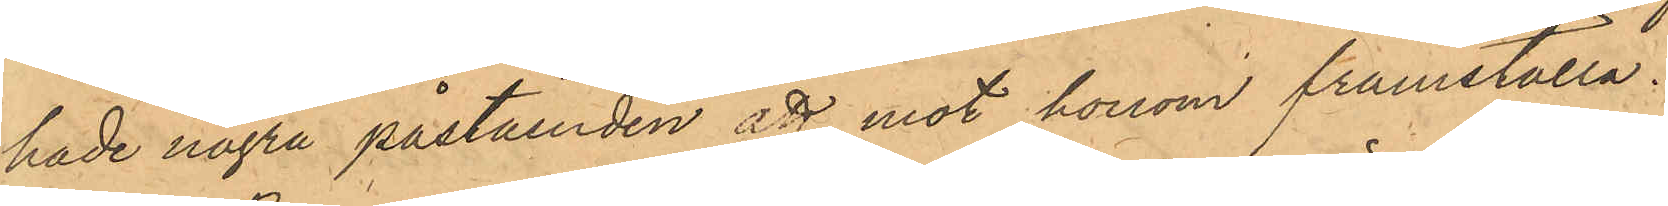hade några påståenden att mot honom framställa.
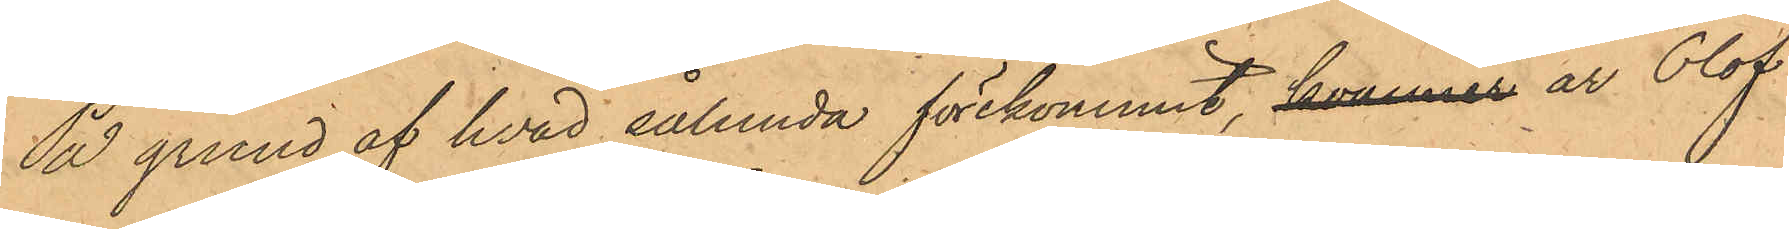På grund af hvad sålunda förekommit, kommer är Olof
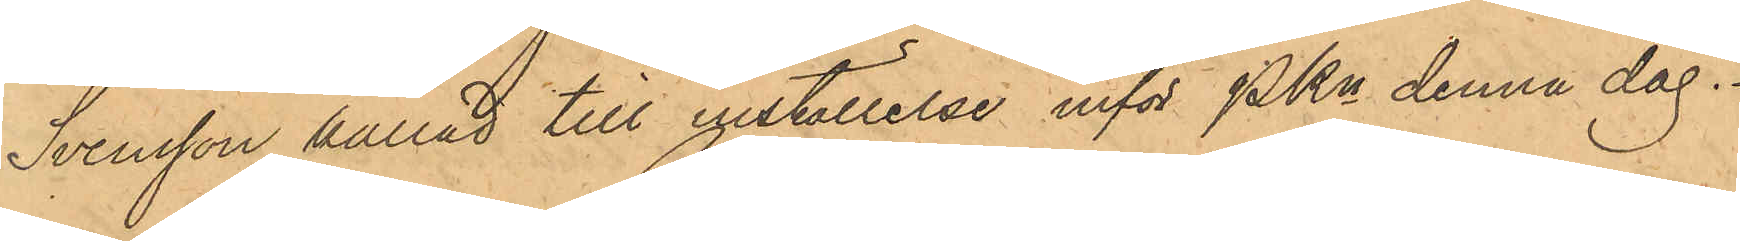Svensson kallad till inställelse inför PKn denna dag.
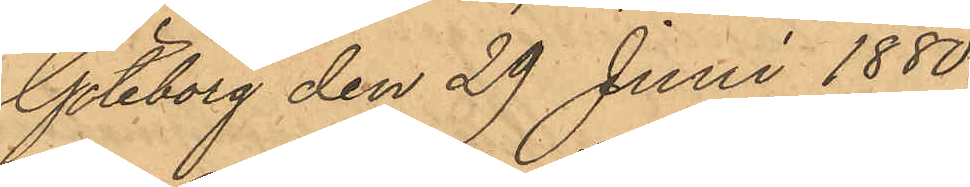Göteborg den 29 Juni 1880.
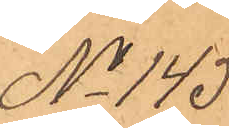No 145.
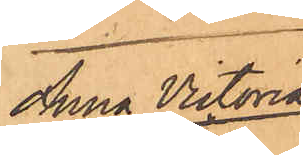Anna Victoria
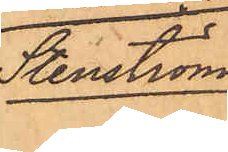Stenström.
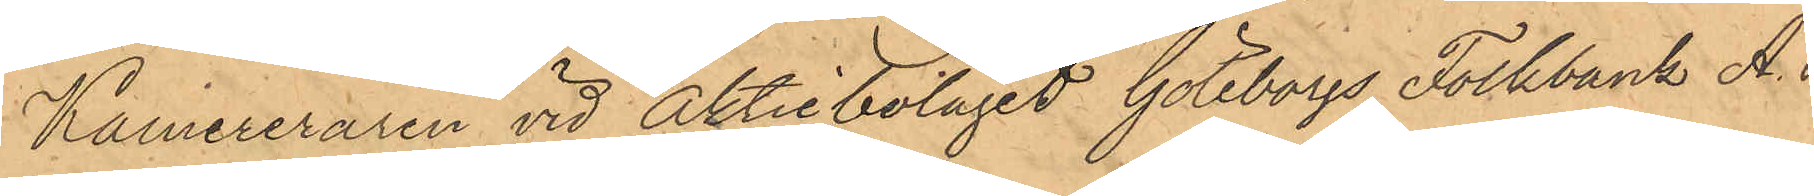Kamereraren vid Aktiebolaget Göteborgs Folkbank A. P.
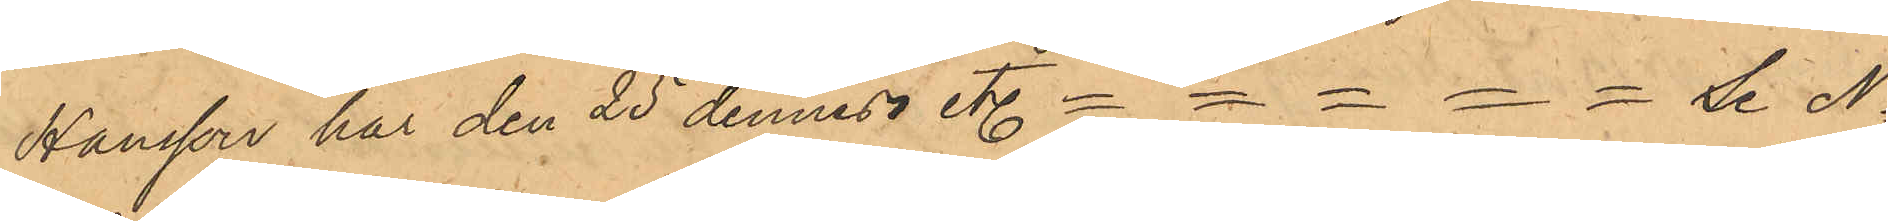Hansson har den 25 dennes etc. = = = = = se No
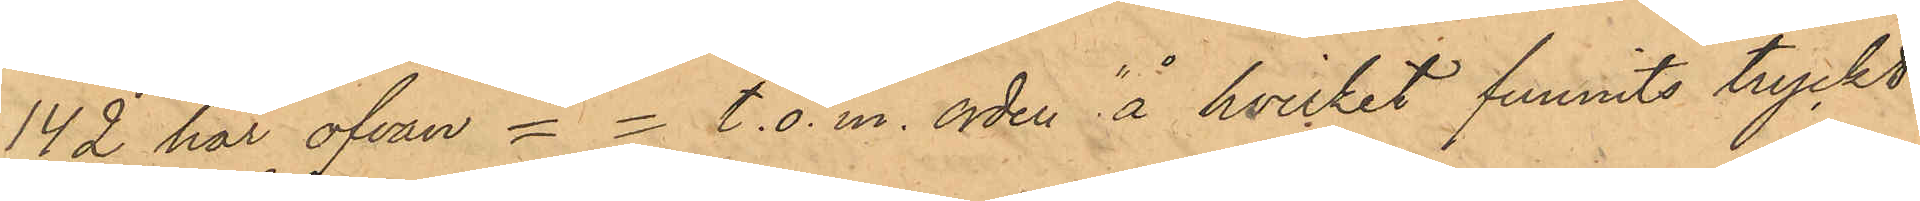142 här ofvan = = t.o.m. orden "å hvilket funnits tryckt
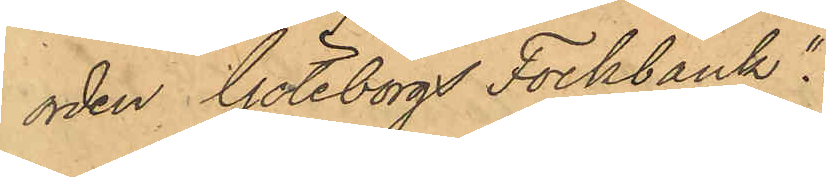orden Göteborgs Folkbank".
